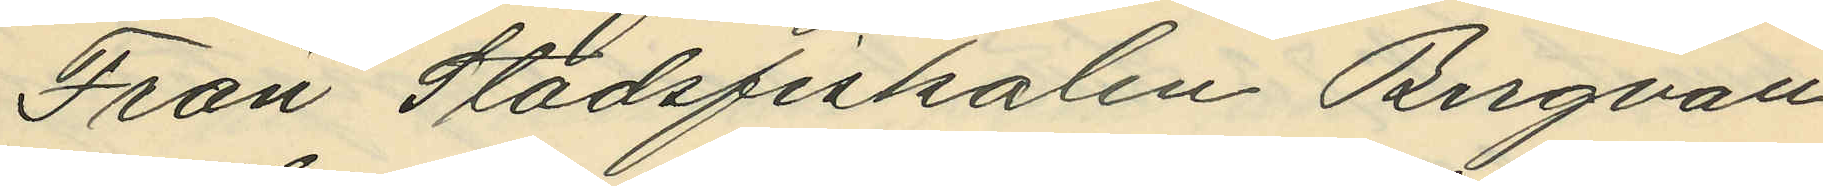Från Stadsfiskalen Bergvall
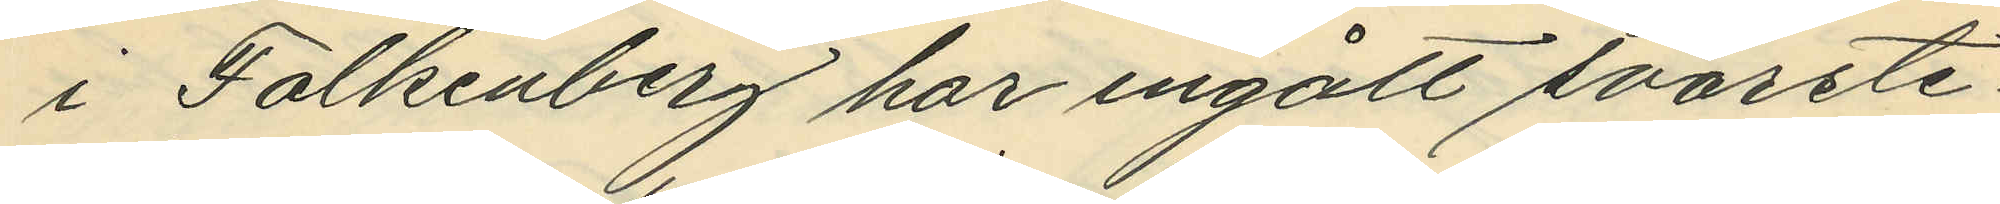i Falkenberg har ingått svarste¬
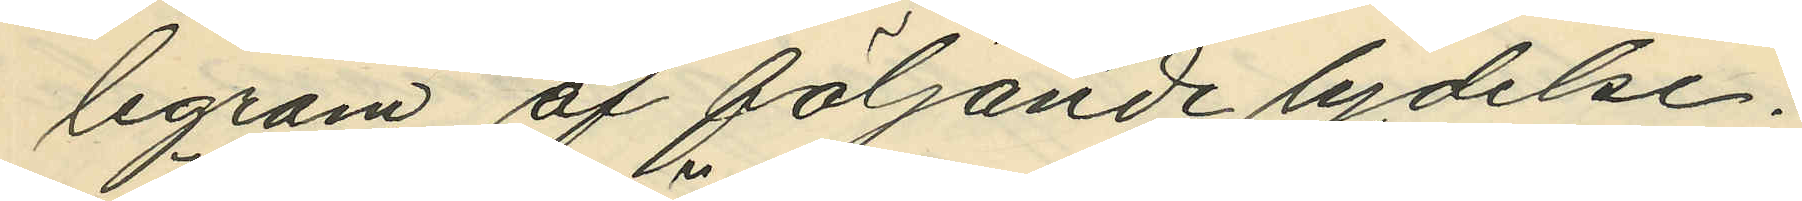legram af följande lydelse:
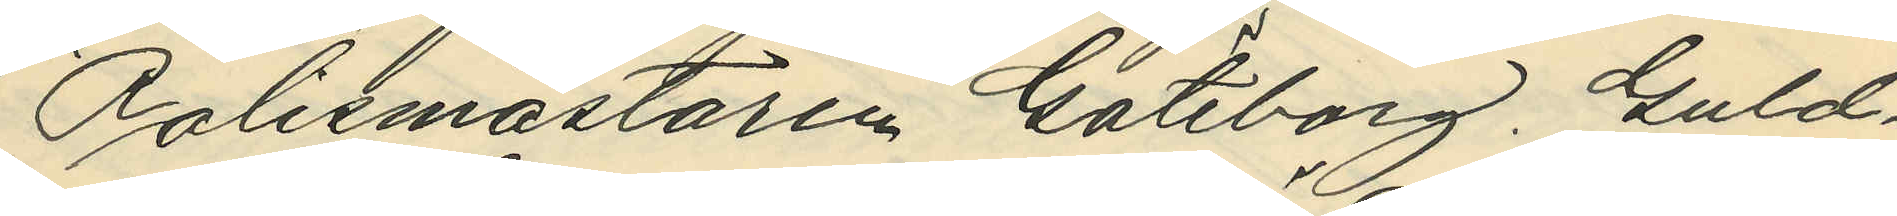"Polismästaren Göteborg. Guld¬
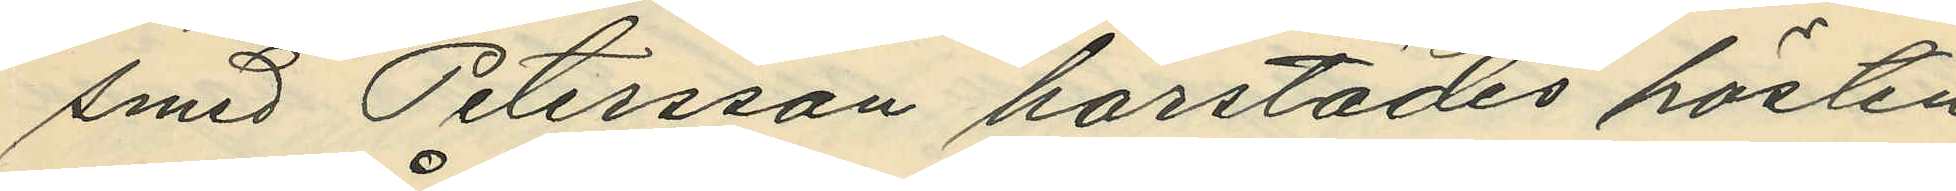smed Petersson härstädes hösten
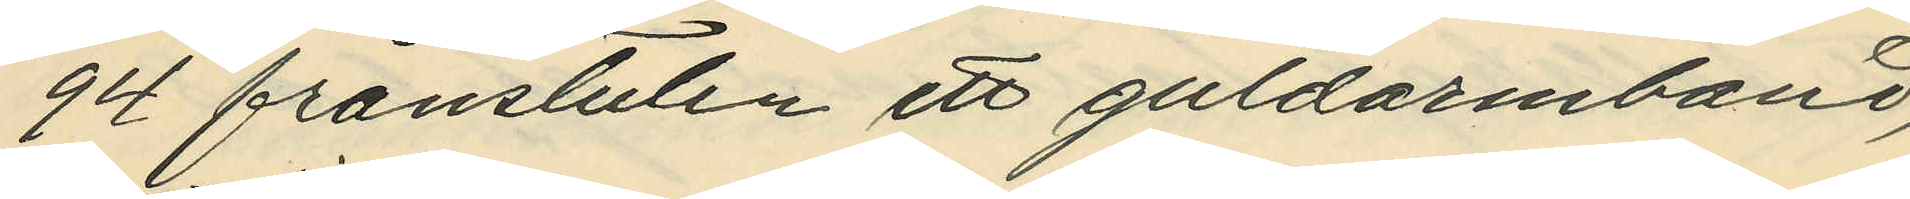94 frånstulen ett guldarmband,
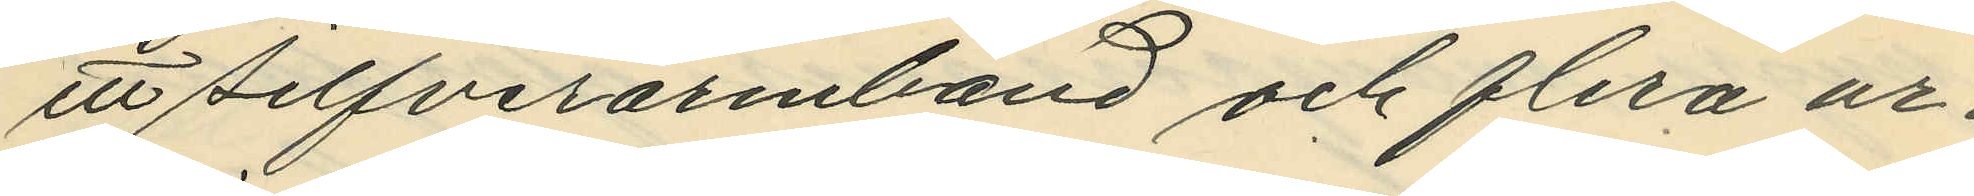ett silfverarmband och flera ur¬
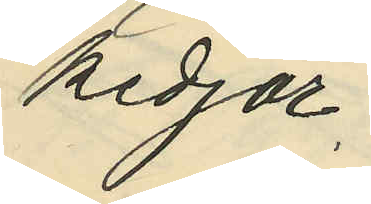kedjor.
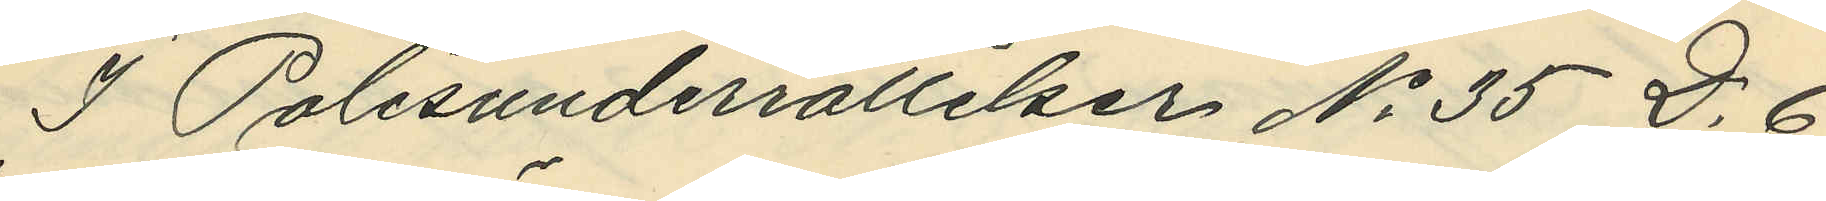I Polisunderrättelser No 35 D. 6
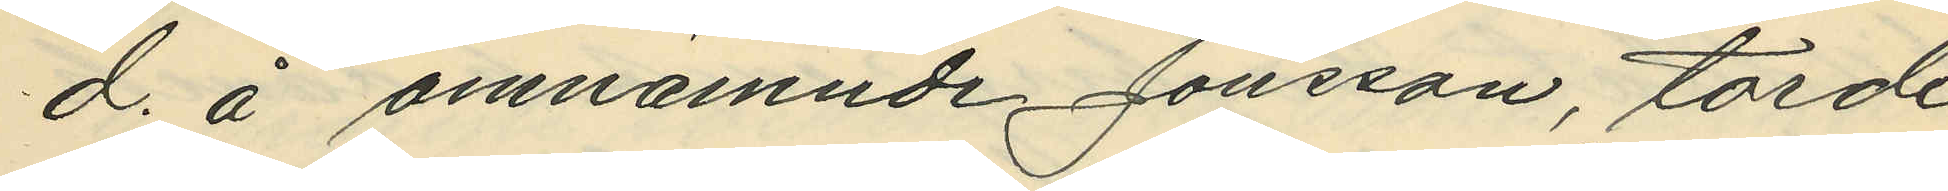d. å omnämnde Jonsson, torde
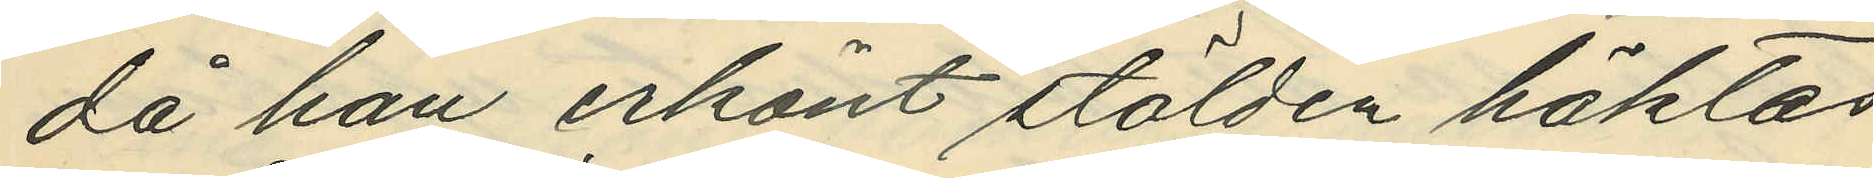då han erkänt stölden häktas
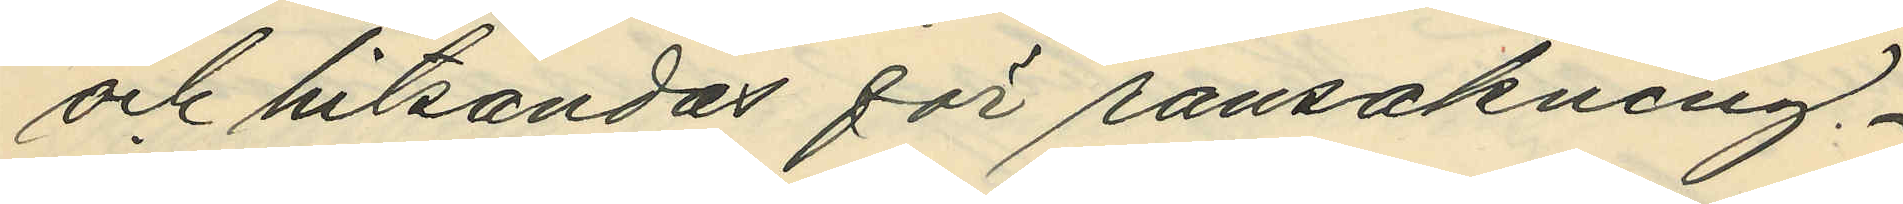och hitsändas för ransakning.
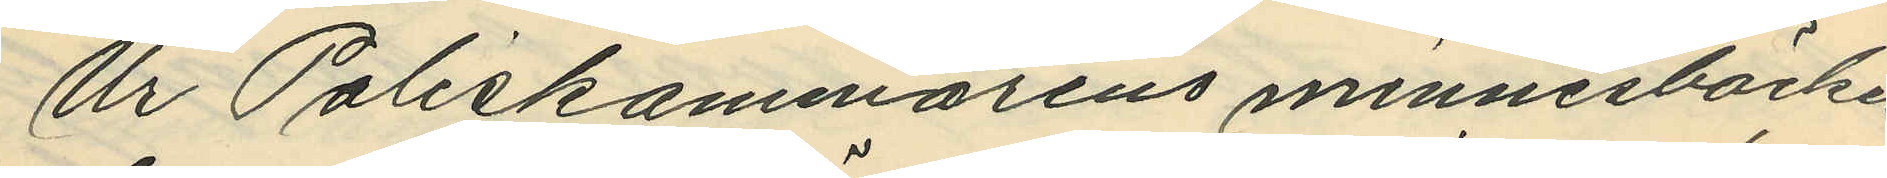Ur Poliskammarens minnesböcker
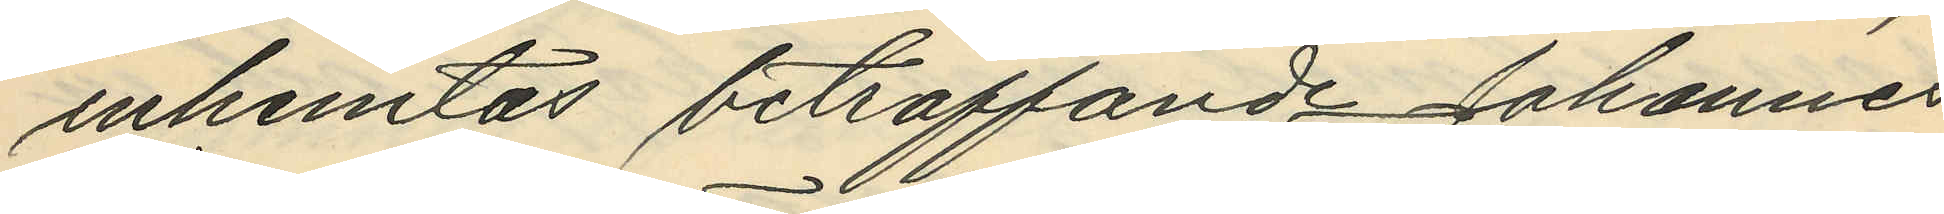inhemtas beträffande Johannes
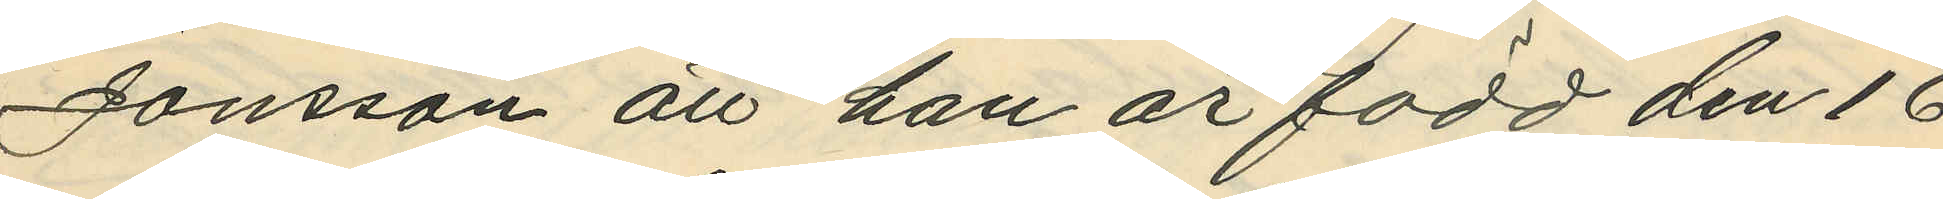Jonsson att han är född den 16
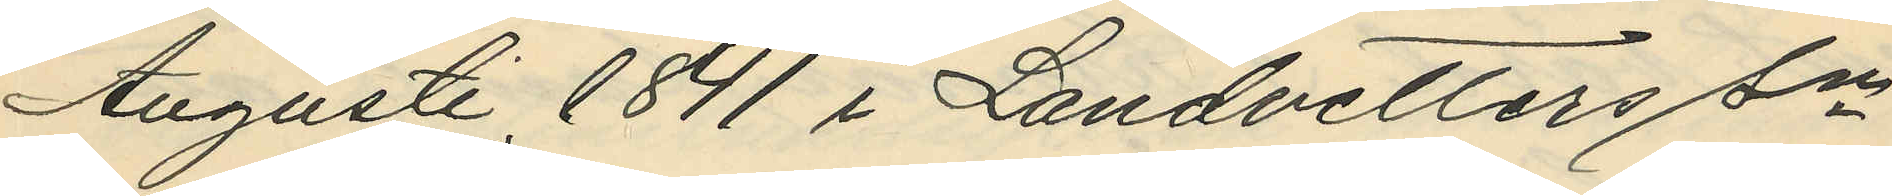Augusti 1841 i Landvetters sn
